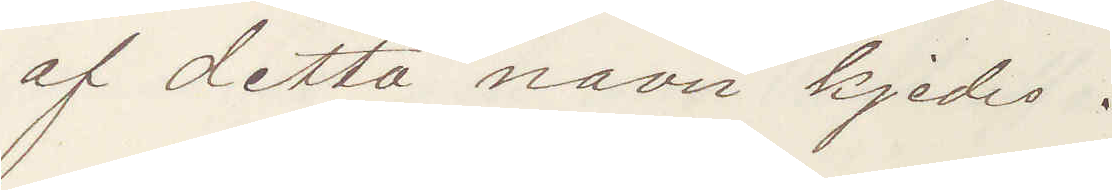af detta navn kjedes.
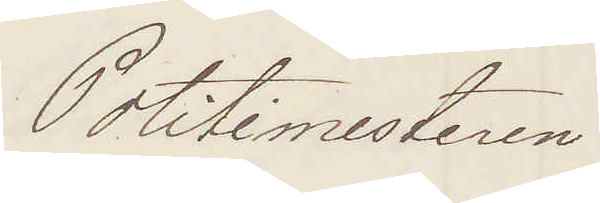Politimesteren
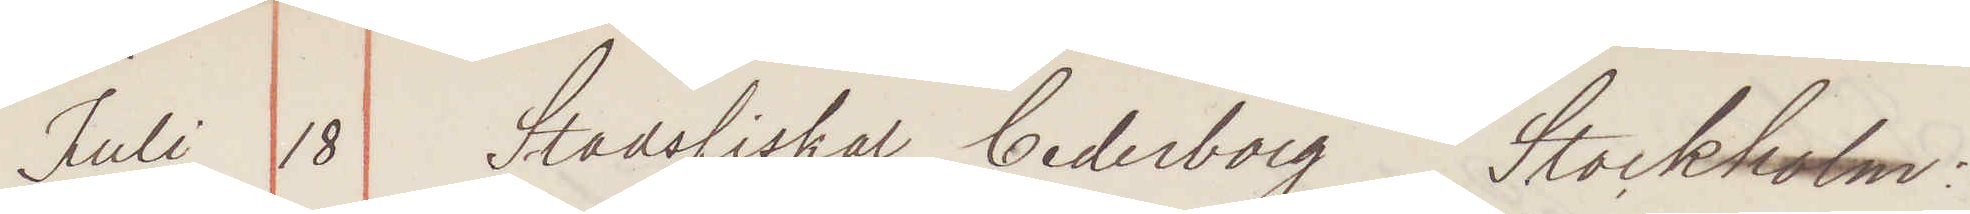Juli 18 Stadsfiskal Cederborg Stockholm:
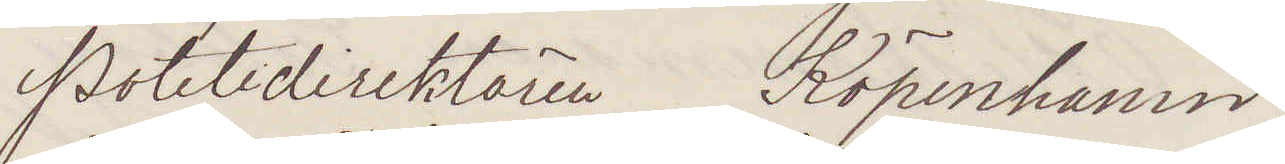Politidirektören Köpenhamn:
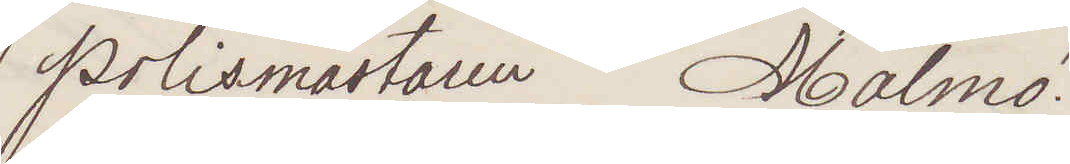Polismästaren Malmö.
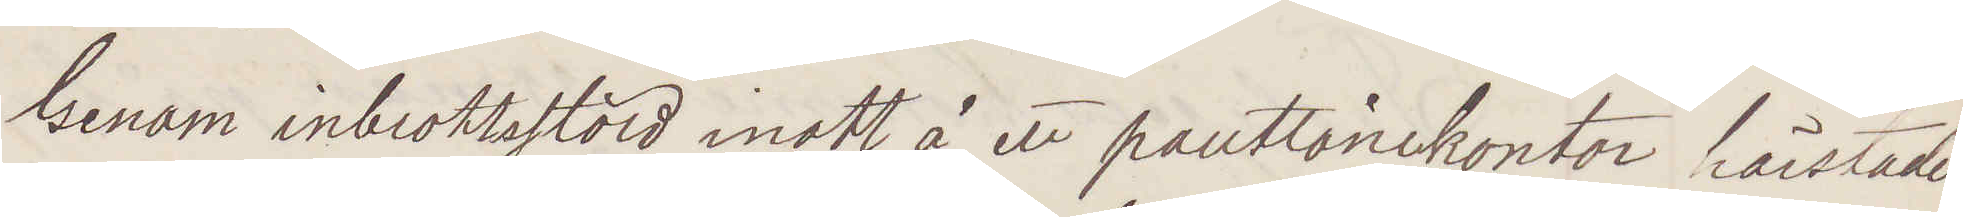Genom inbrottsstöld inatt å ett pantlånekontor härstädes
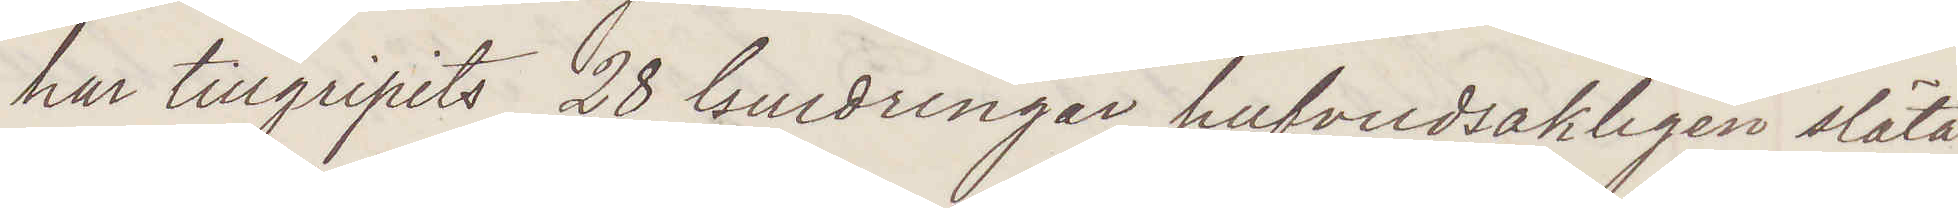har tillgripits 28 Guldringar, hufvudsakligen släta,
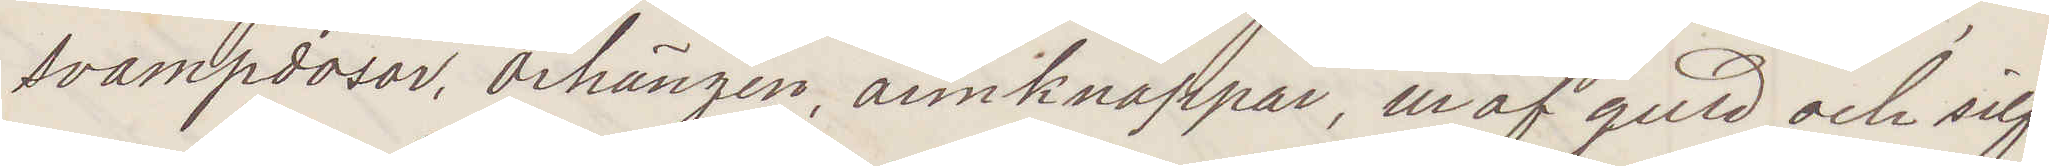svampdosor, örhängen, armknappar, ur af guld och silf¬
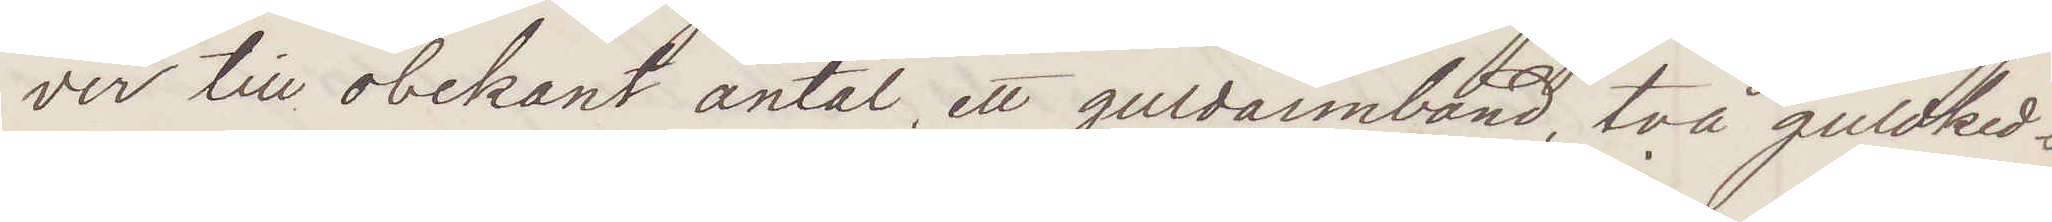ver till obekant antal, ett guldarmband, två guldked¬
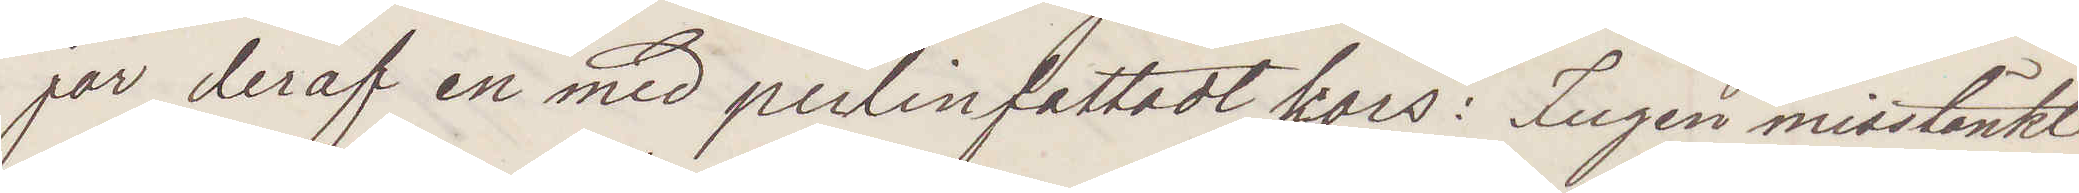jor deraf en med perlinfattadt kors: Ingen misstänkt
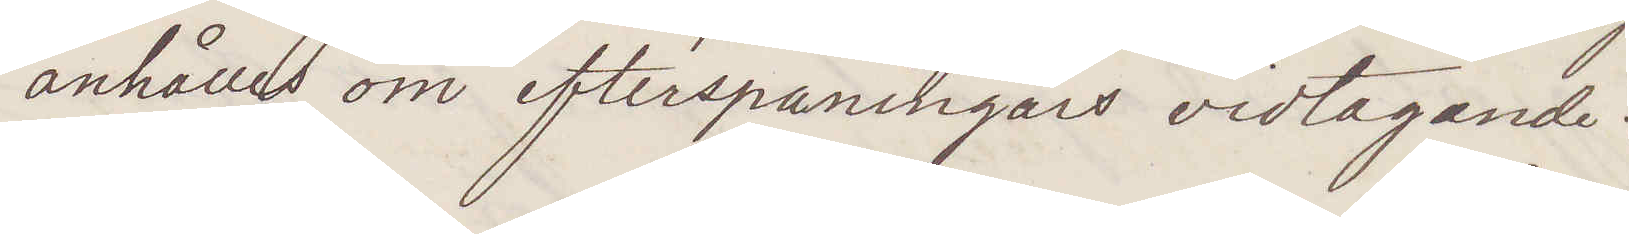anhålles om efterspaningars vidtagande.
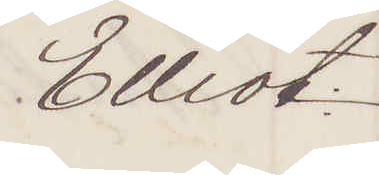Elliot
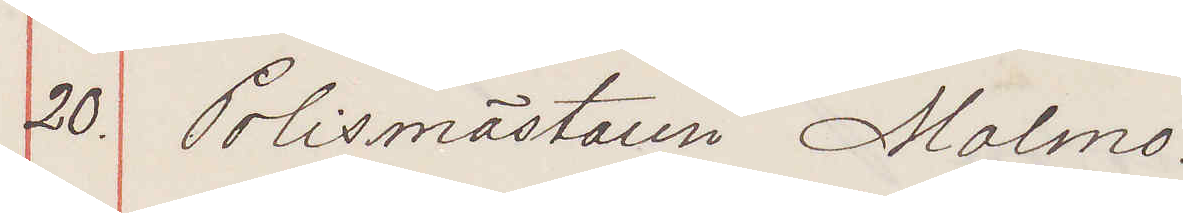20. Polismästaren Malmö.
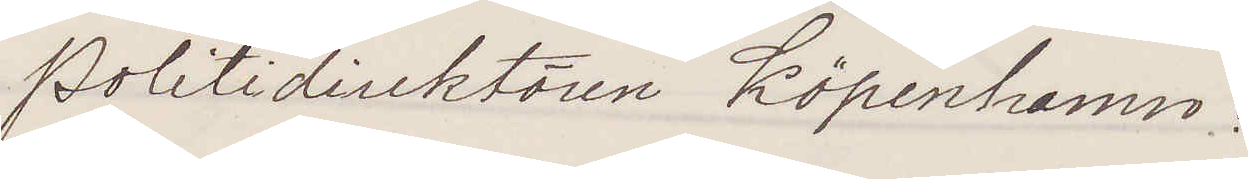Politidirektören Köpenhamn
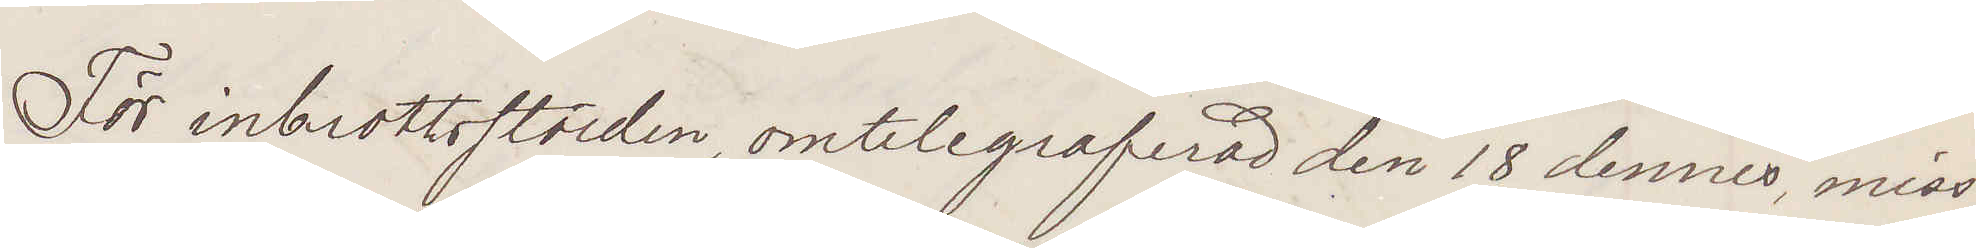För inbrottsstölden omtelegraferade den 18 dennes, miss¬
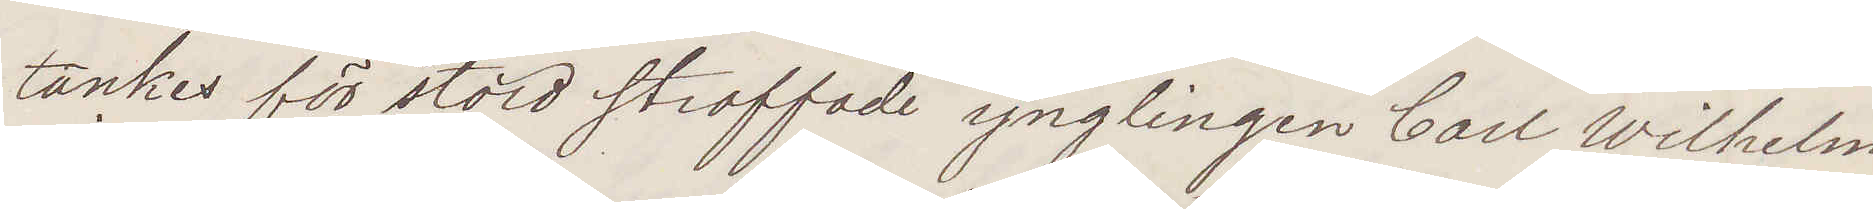tänkes för stöld straffade ynglingen Carl Wilhelm
